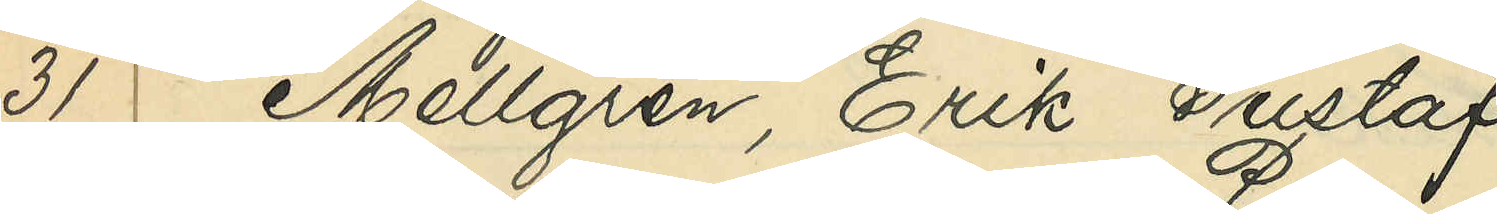31 Mellgren, Erik Gustaf
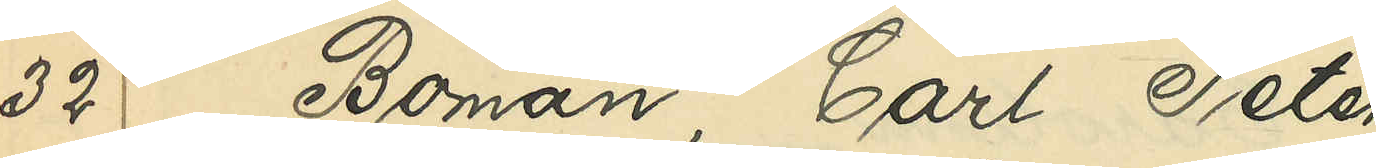32 Boman, Carl Peter
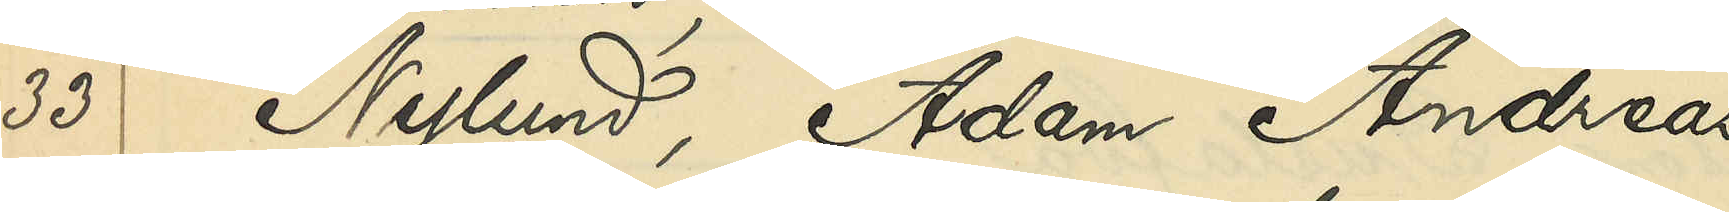33 Nylund, Adam Andreas
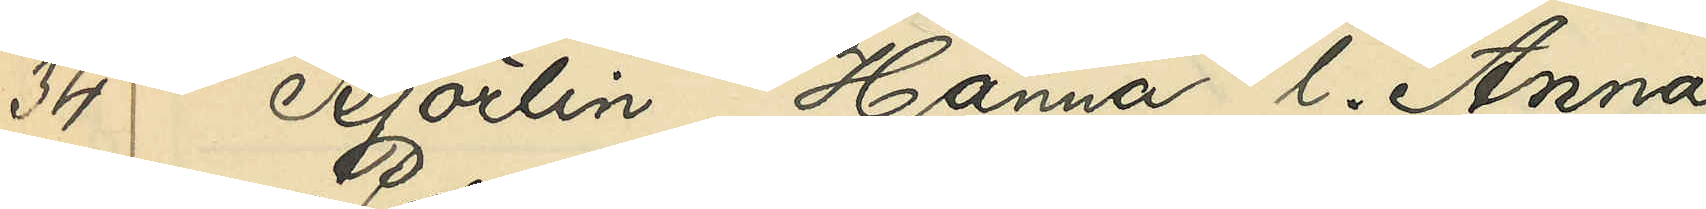34 Björlin, Hanna l. Anna
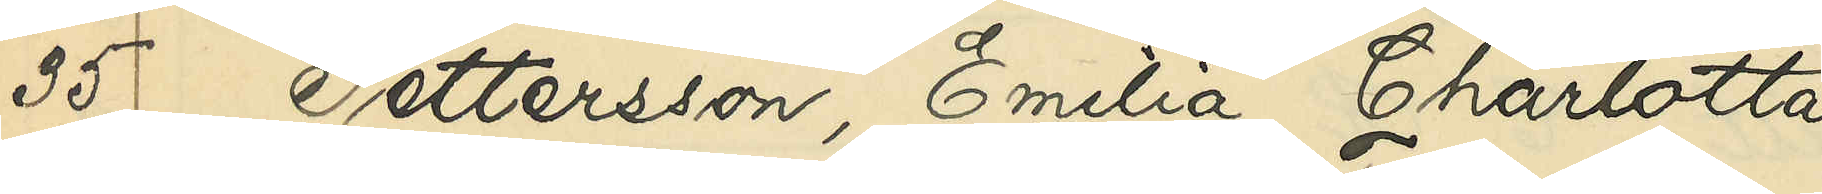35 Pettersson, Emilia Charlotta
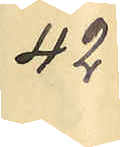42
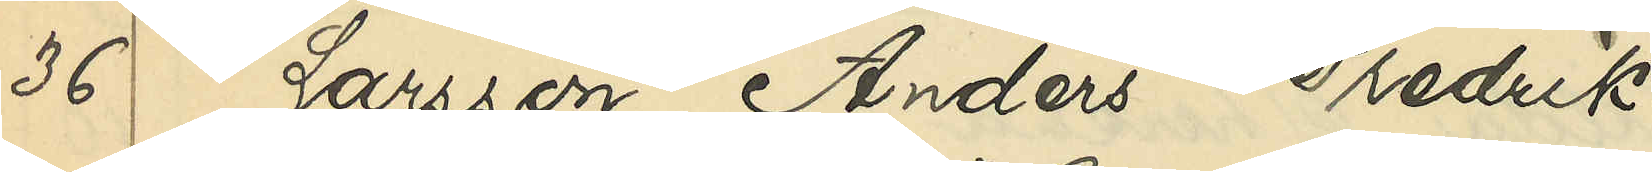36 Larsson, Anders Fredrik
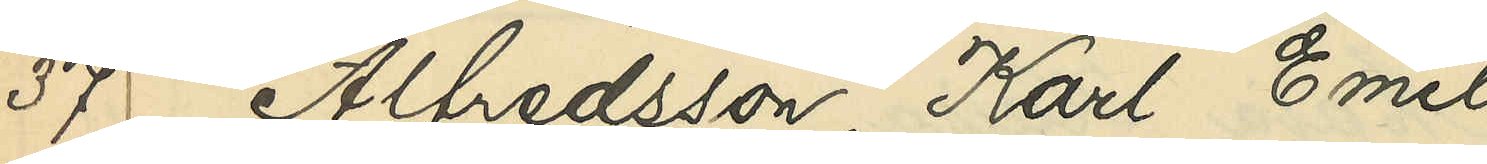37 Alfredsson, Karl Emil
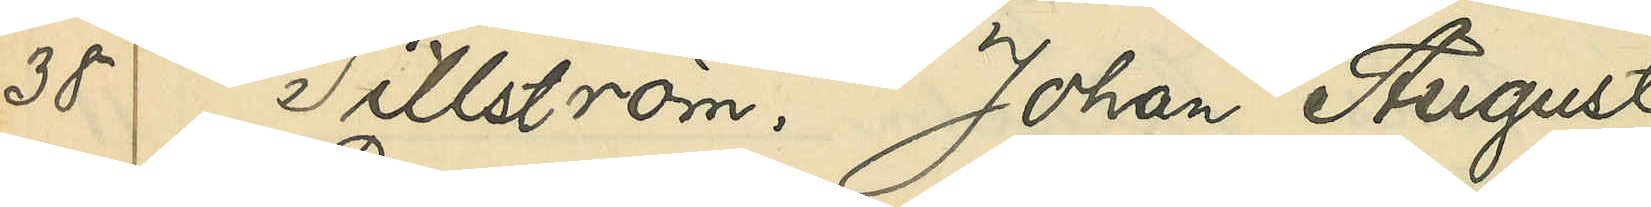38 Tillström, Johan August
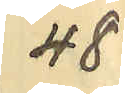48
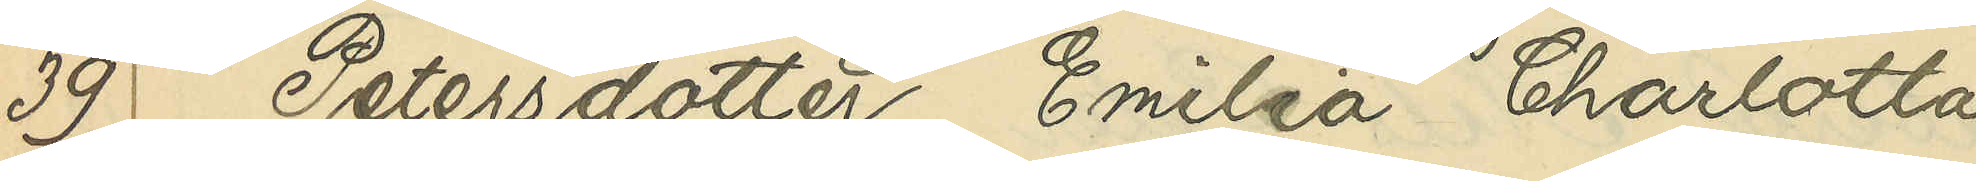39 Petersdotter, Emilia Charlotta
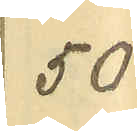50
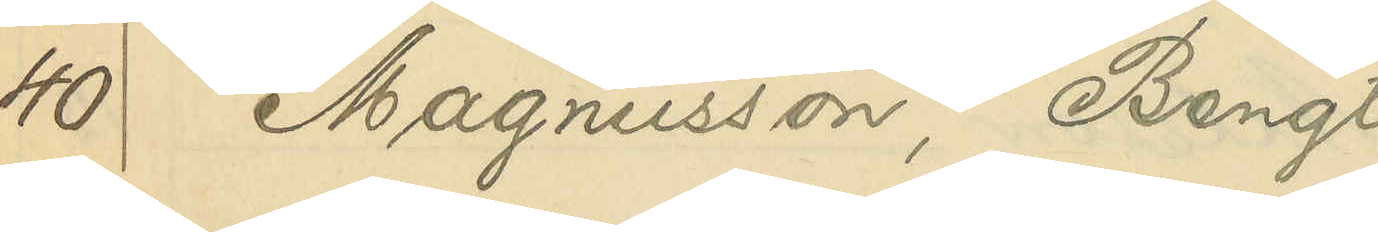40 Magnusson, Bengt
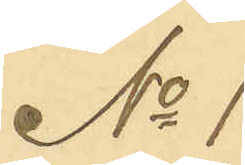No 1
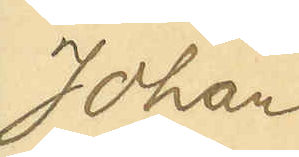Johan
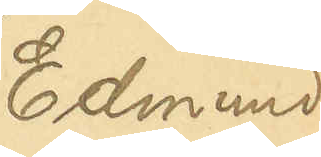Edmund
